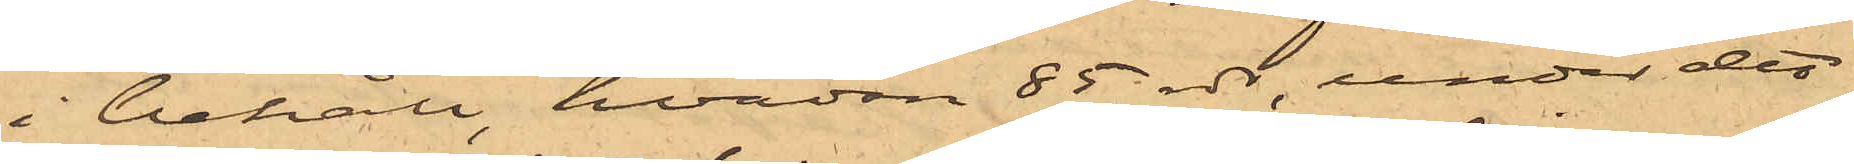i behåll, hvadan 85 rdr, under det
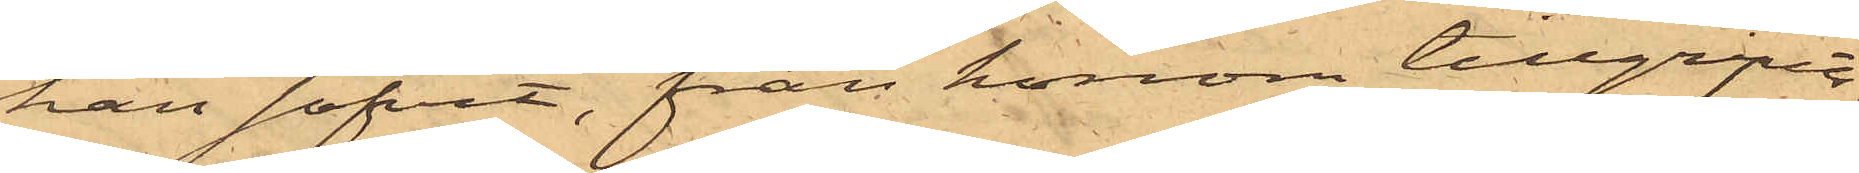han sofvit, från honom tillgripits;
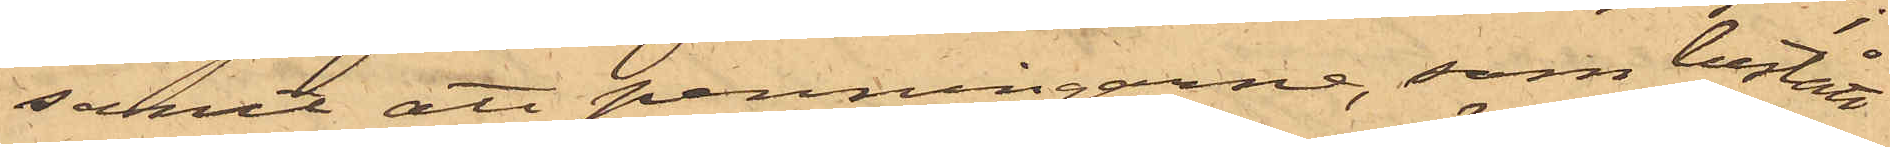samt att penningarne, som bestått
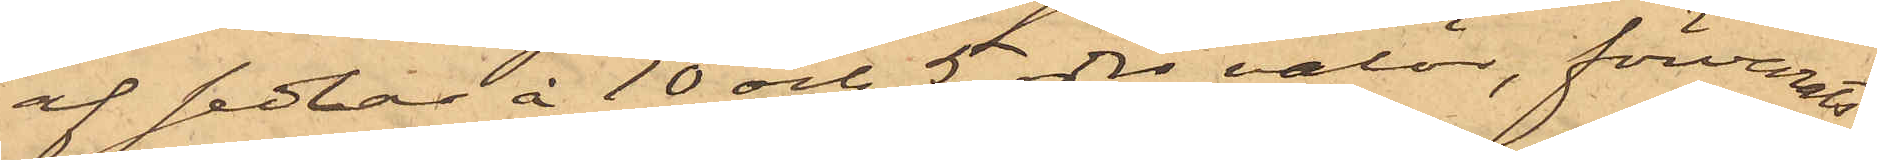af sedlar à 10 och 5 rdrs valör, förvarats
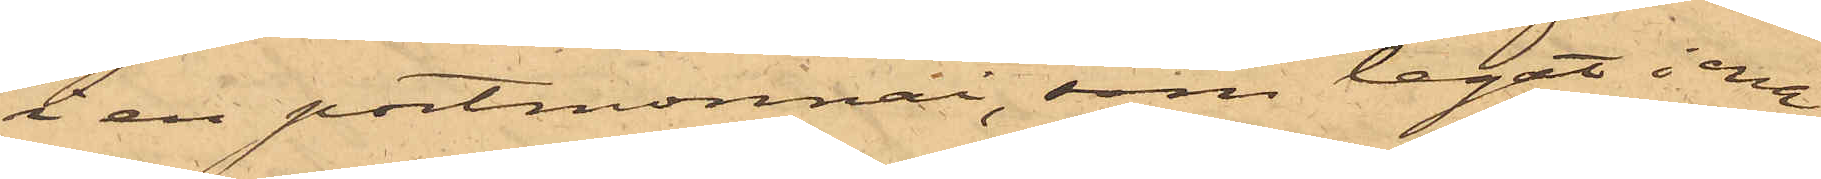i en portmonnai, som legat i ena
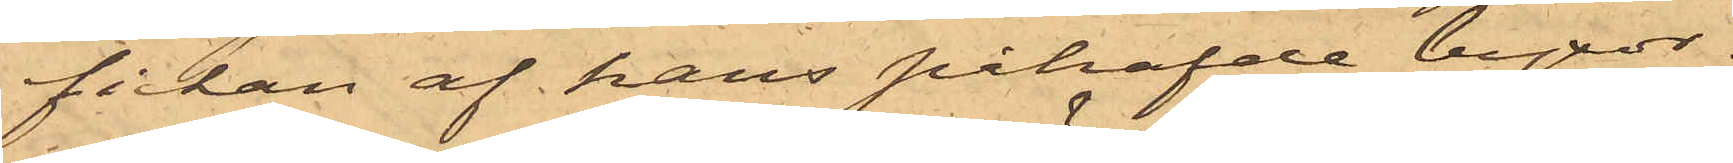fickan af hans påhafde byxor.
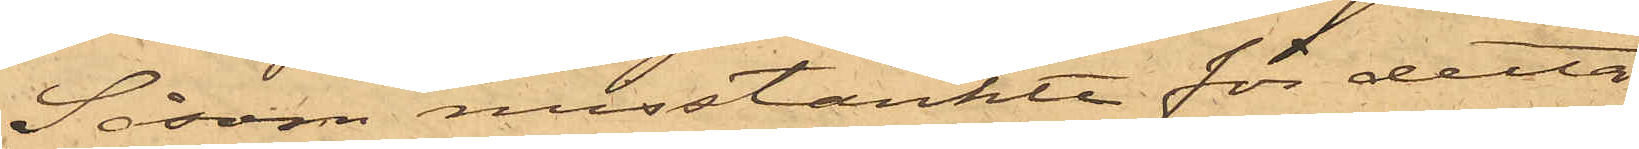Såsom misstänkte för detta
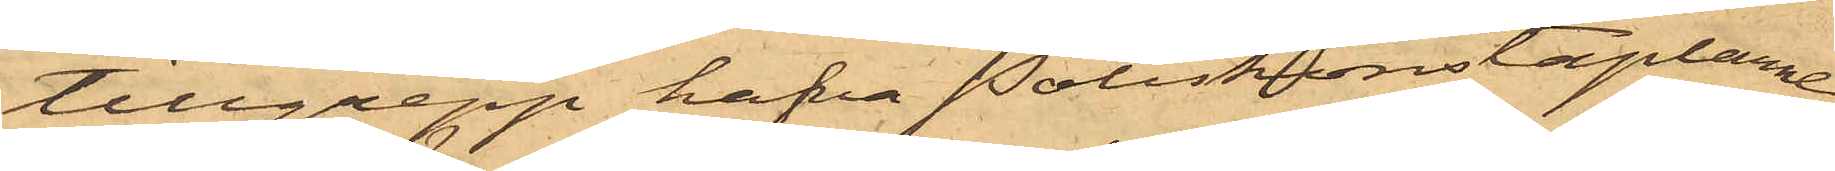tillgrepp hafva Poliskonstaplarne
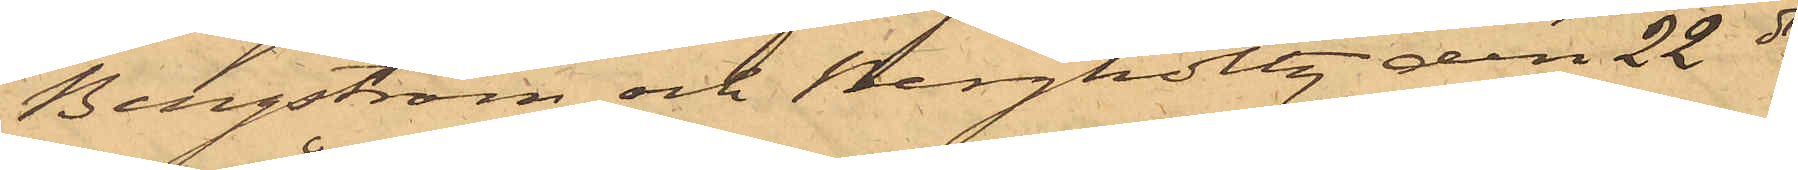Bergström och Bergholtz den 22 ds
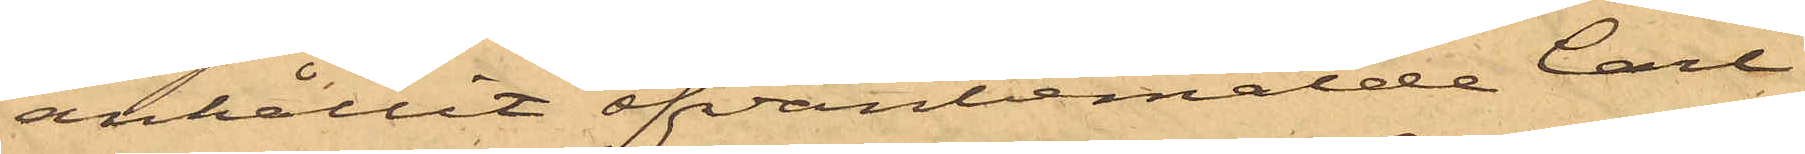anhållit ofvanbemälde Carl
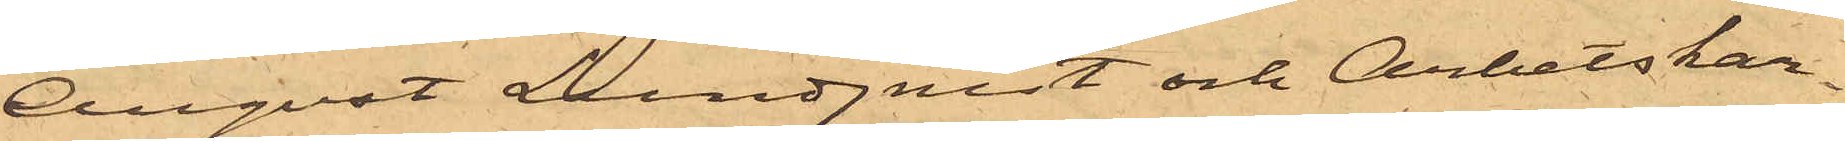August Lundquist och Arbetskar¬
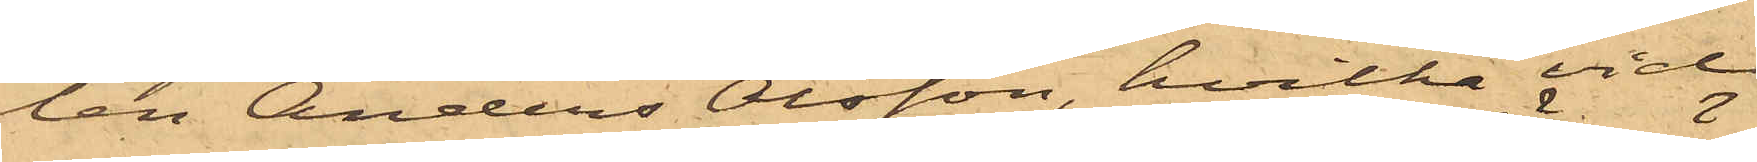len Anders Olsson, hvilka vid
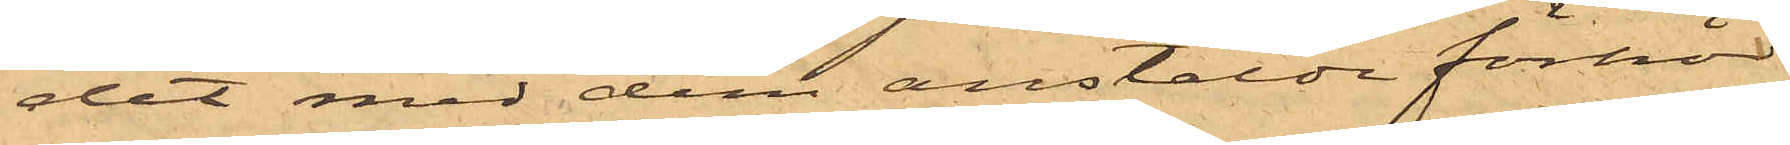det med dem anstälde förhör
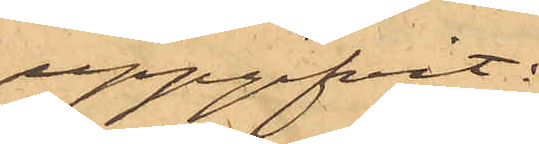uppgifvit:
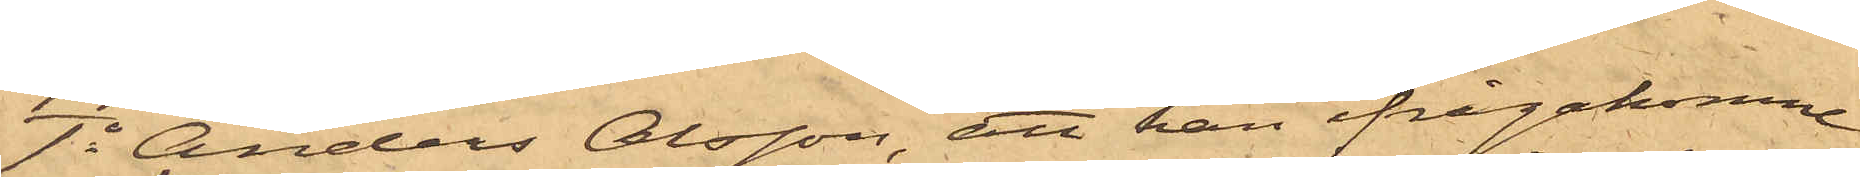1o Anders Olsson, att han ifrågakomne
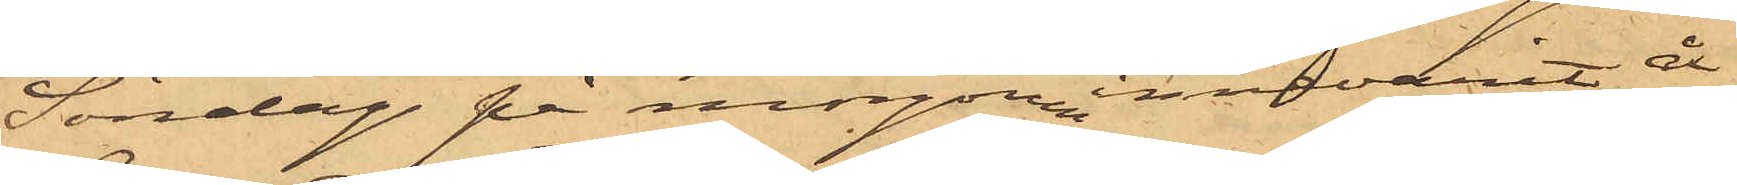Söndag på morgon innevarit å
